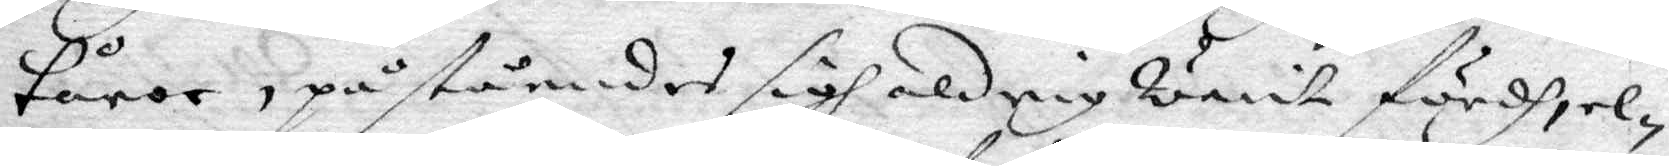tårar, påståendes sigh aldrig warit fördh, el¬
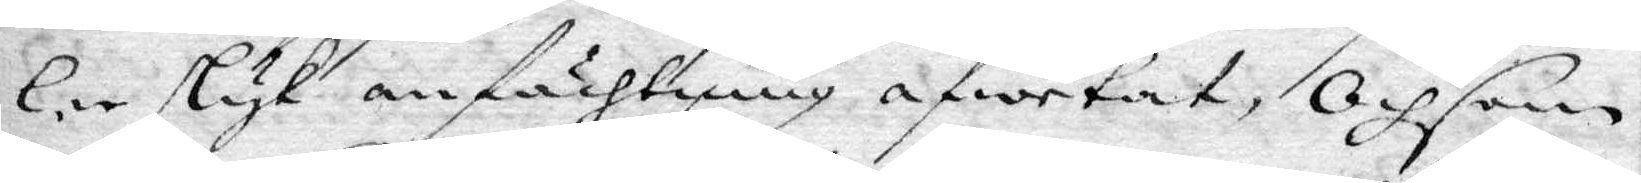ler slyk anfächtning afwetat, Och som
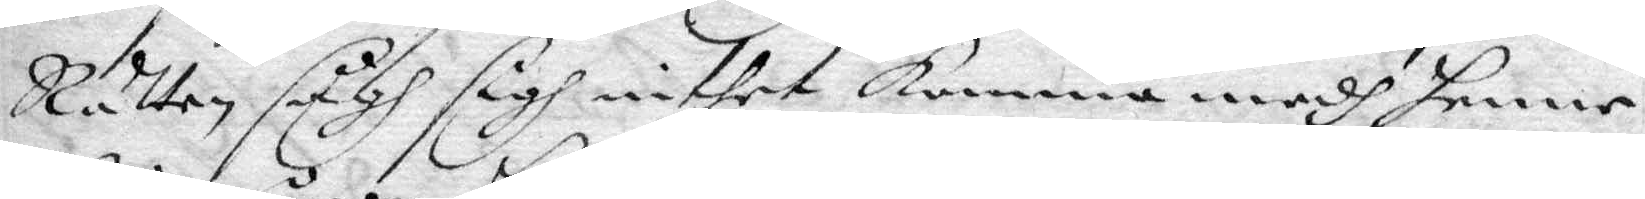Rätten sågh sigh inthet komma medh henne
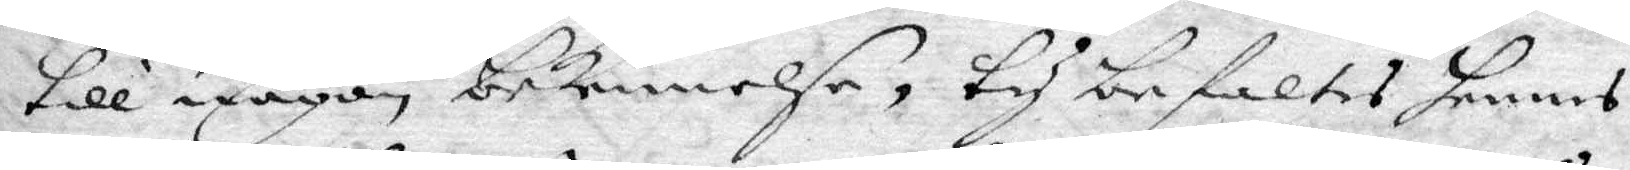till någon bekennelse, ty befaltes hennes
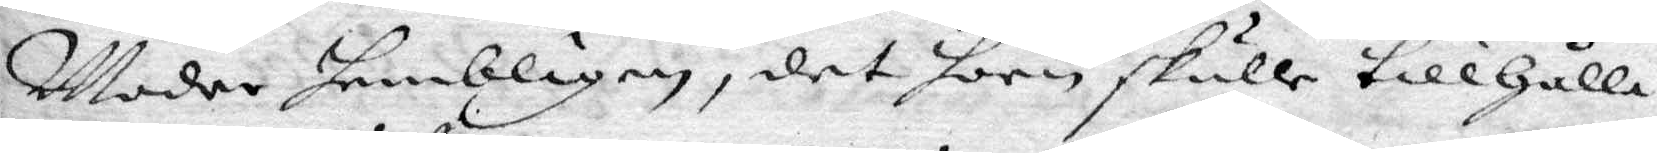Moder hembligen, det hon skule tillhålla
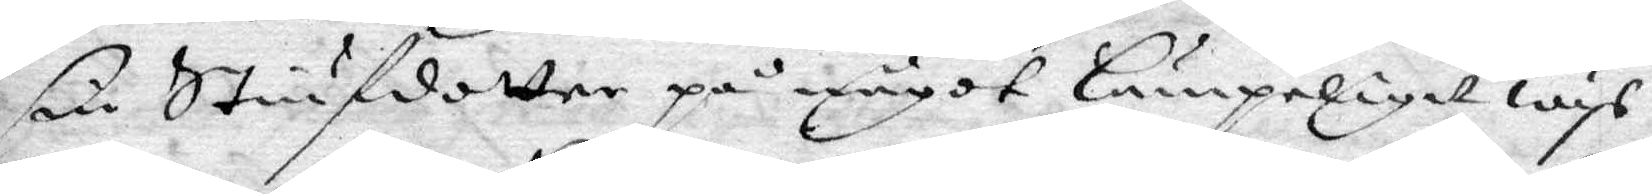sin Stiufdotter på något lämpeligit wys
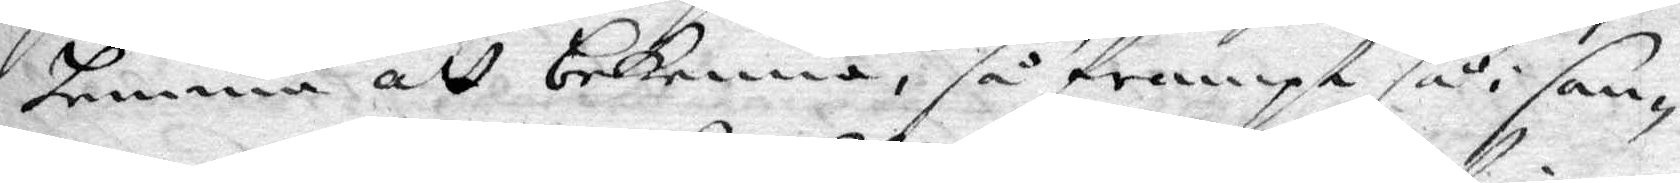hemma att bekenna, så frampt så i san¬
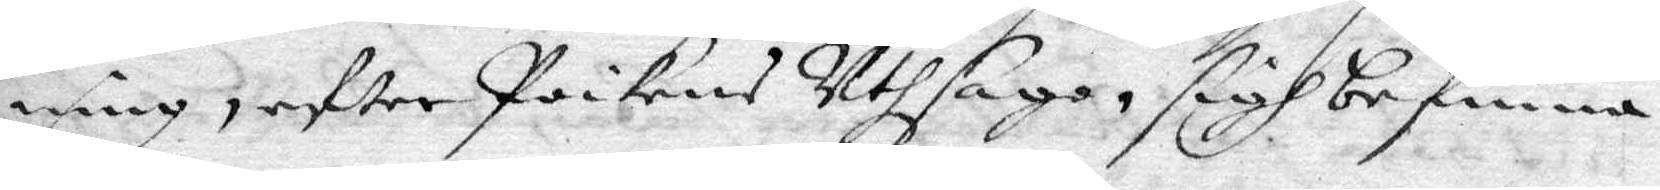ning, efter Poikens Uthsago, sigh befinna
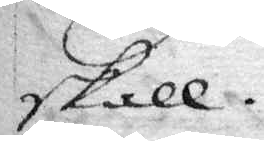skall.
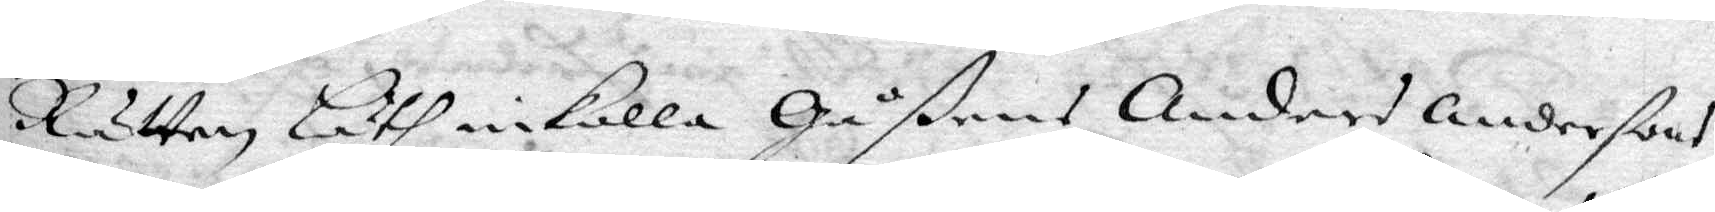Rätten läth inkalla Gåßen Anders Anderßons
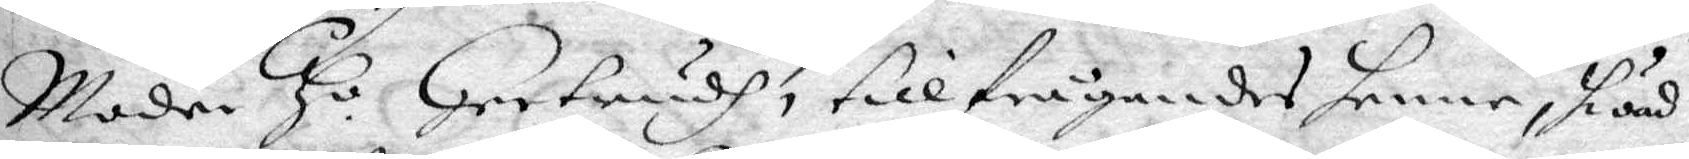Moder H.o Gertrudh, tillfrågandes henne, hwad
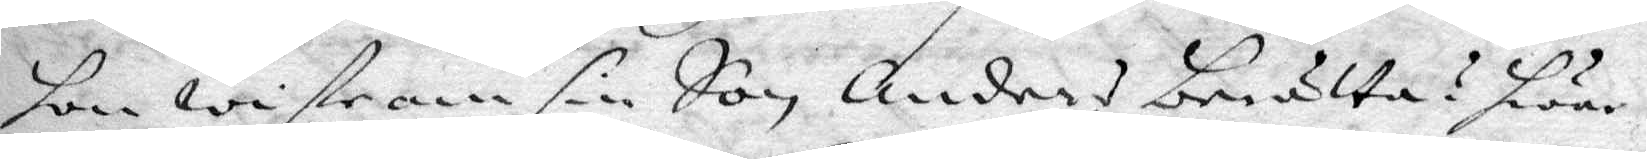hon wiste om sin Son, Anders berätta? hwar¬
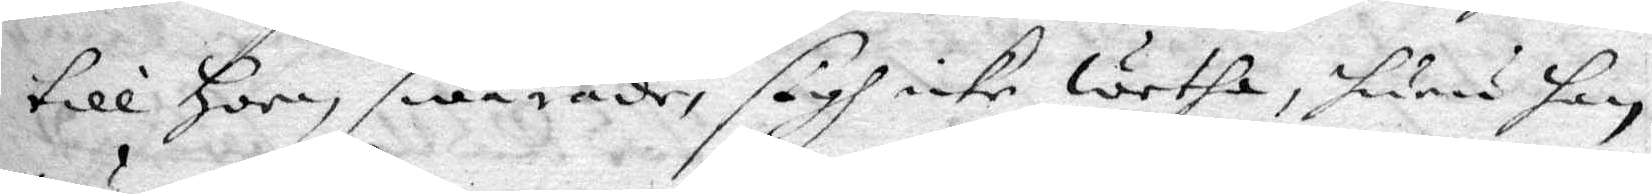till Hon swarade, sigh icke wetha, huru han
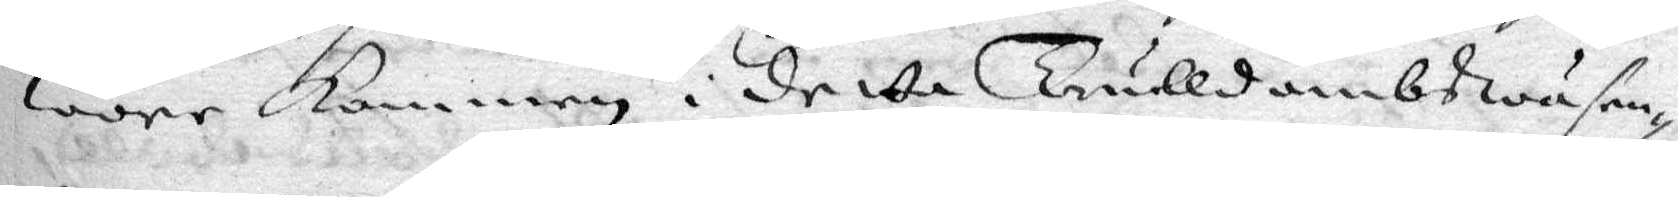wore Kommen i detta Trulldombswäsen¬
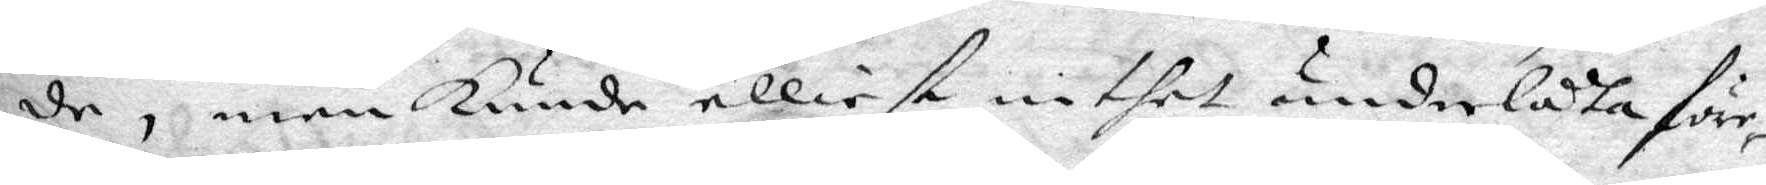de, men Kunde elliest inthet underlåta före¬
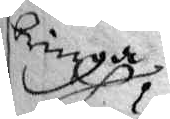bringa
